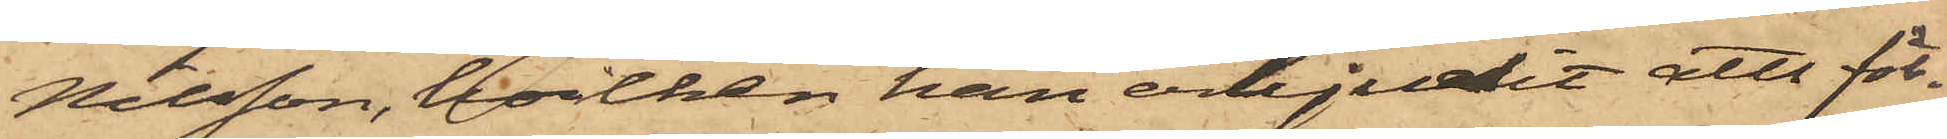Nilsson, hvilken han erbjudit att för¬
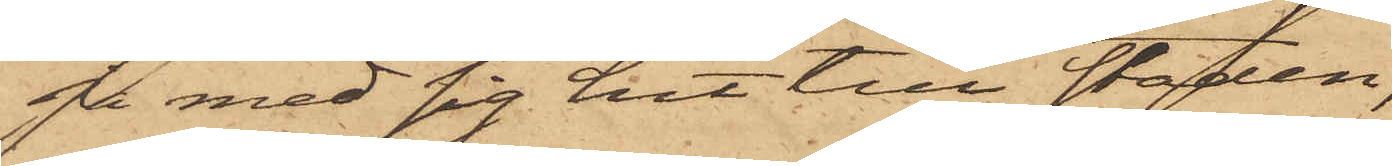ja med sig hit till Staden,
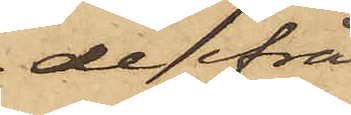de ifrå¬
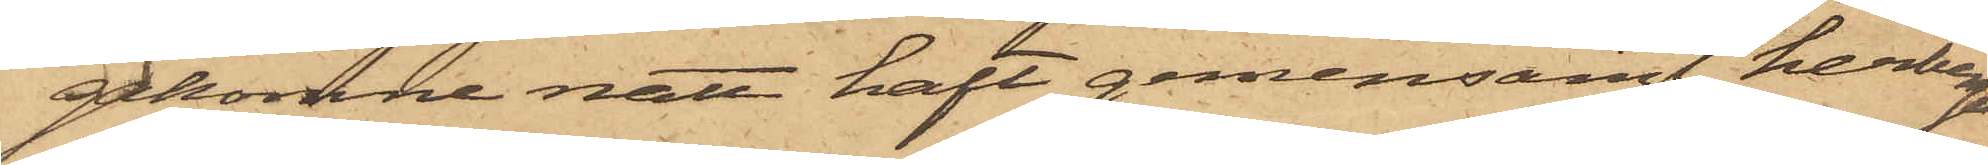gakomne natt haft gemensamt herberge
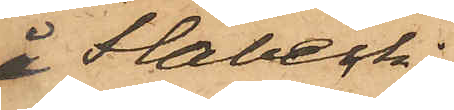å Flabeck;
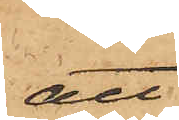att
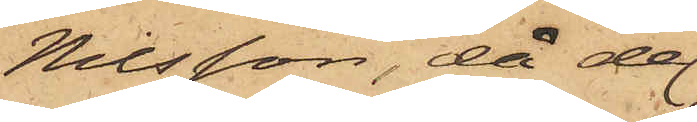Nilsson, då de
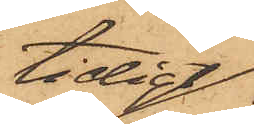tidigt
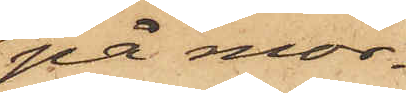på mor¬
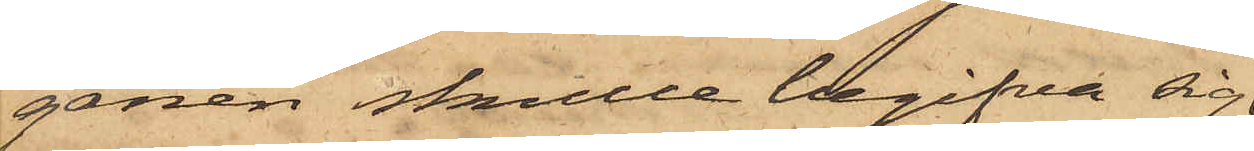gonen skulle begifva sig
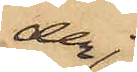der¬
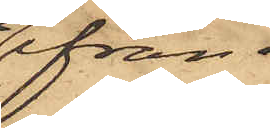ifrån
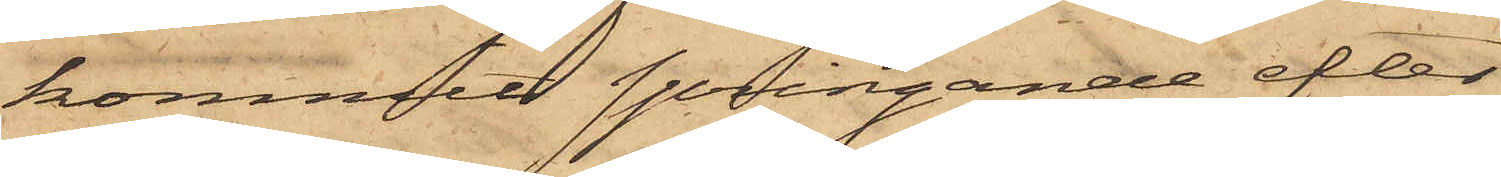, kommit springande efter
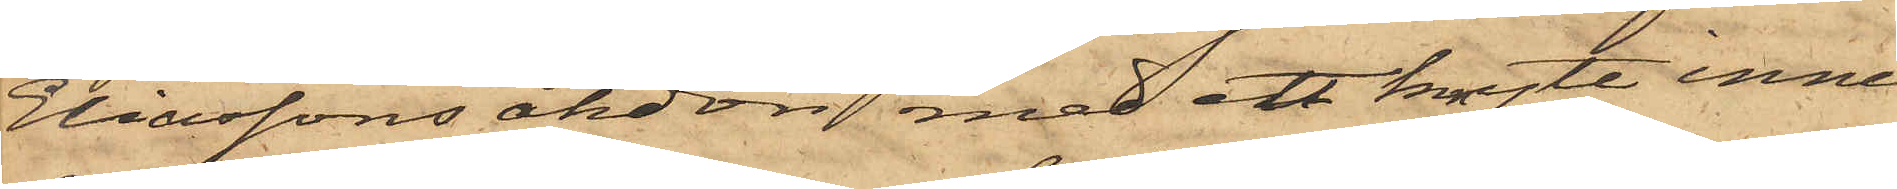Eliassons åkdon med ett knyte inne¬
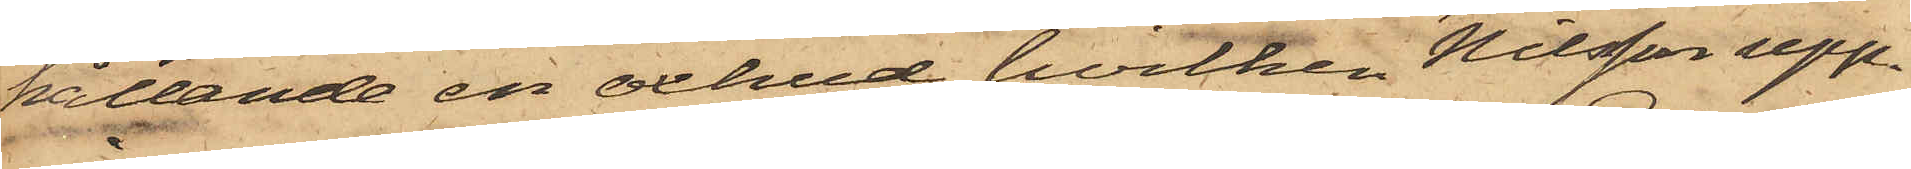hållande en oxhud, hvilken Nilsson upp¬
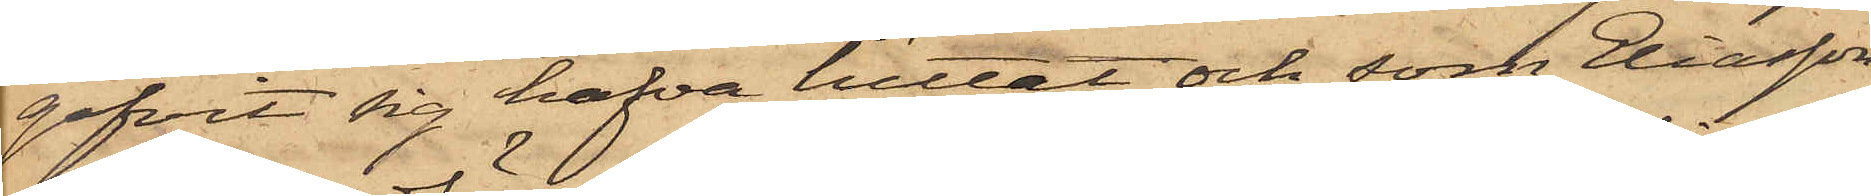gifvit sig hafva hittat och som Eliasson
